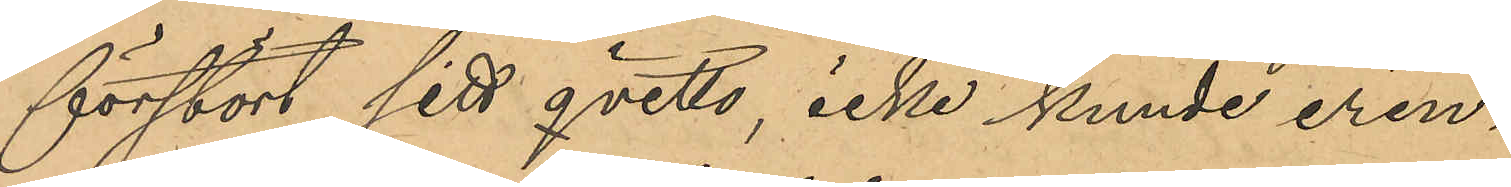förstört sitt qvitto, icke kunde erin¬
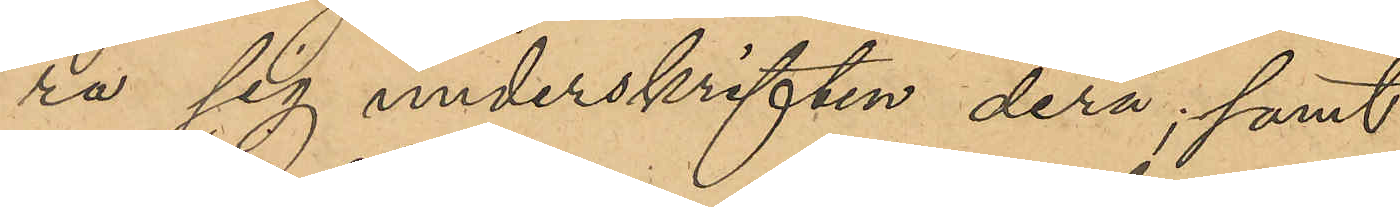ra sig underskriften derå, samt
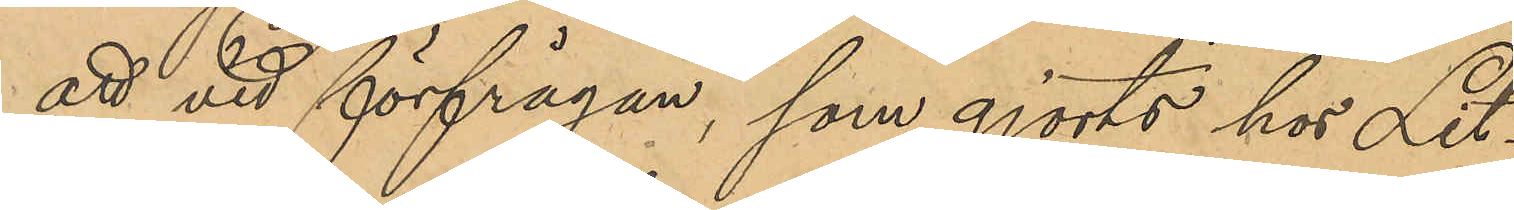att vid förfrågan, som gjorts hos Lit¬
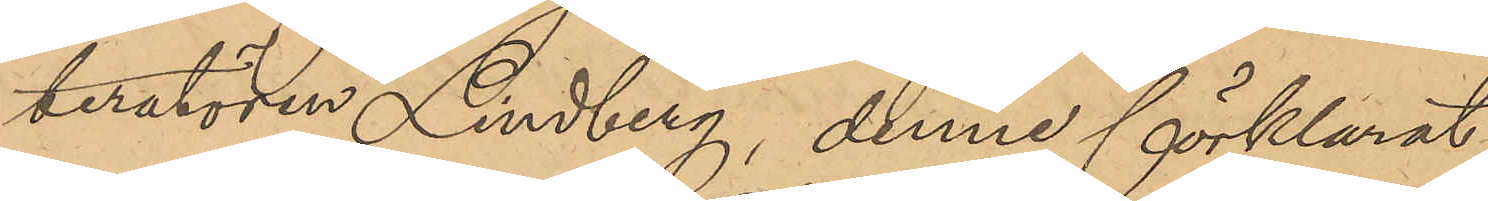teratören Lindberg, denne förklarat
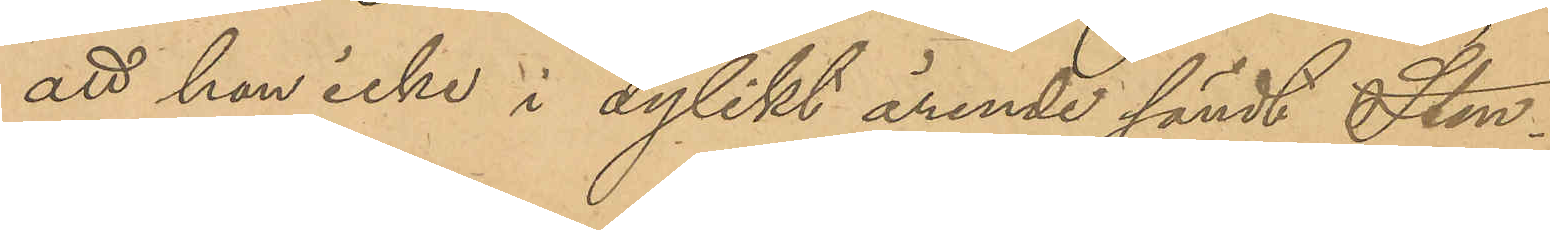att han icke i dylikt ärende sändt Sten¬
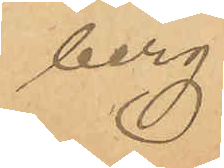berg.
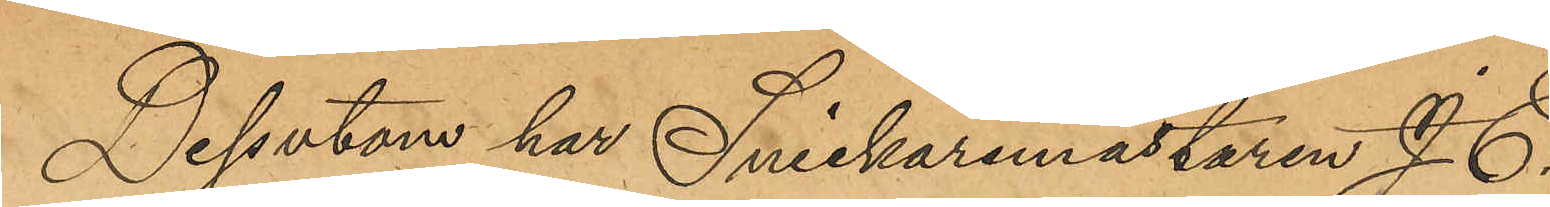Dessutom har Snickaremästaren J. E.
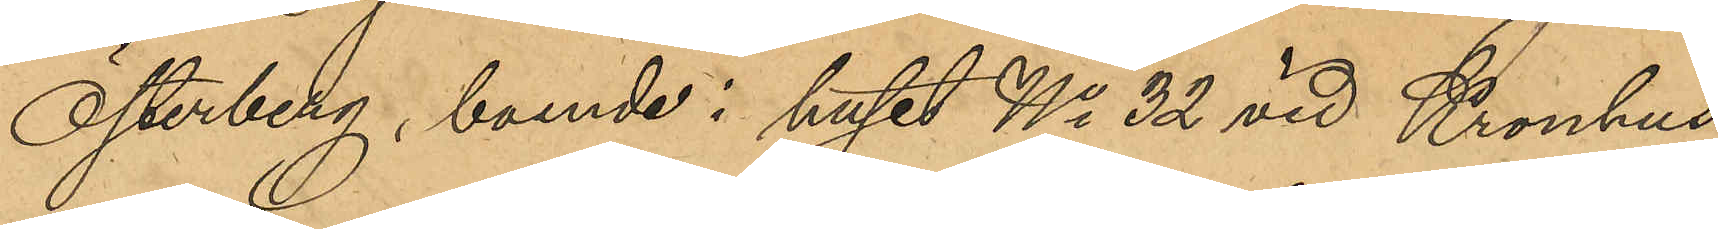Österberg, boende i huset No 32 vid Kronhus¬
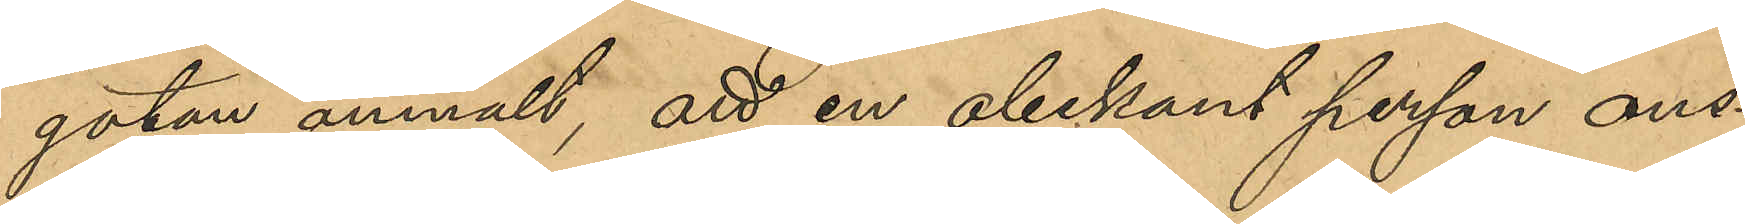gatan, anmält, att en obekant person ons¬
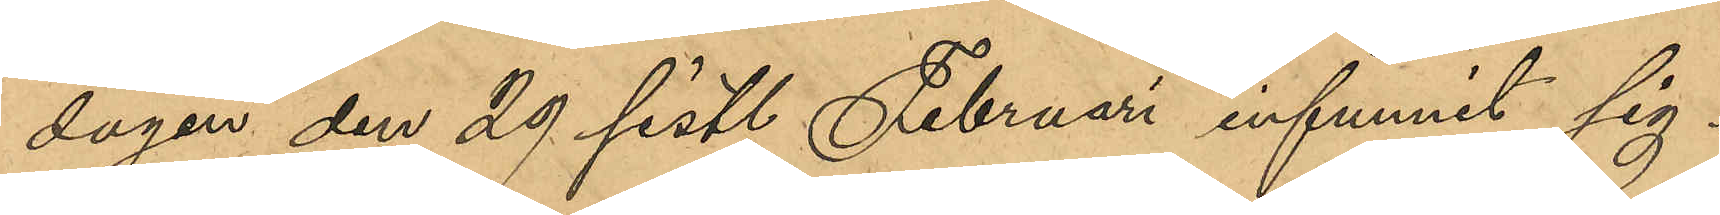dagen den 29 sist. Februari innfunnit sig i
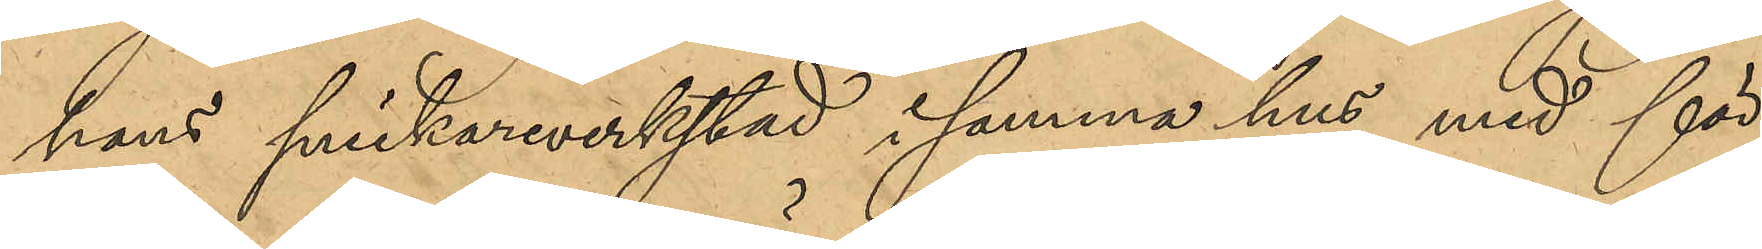hans snickareverkstad i samma hus med för¬
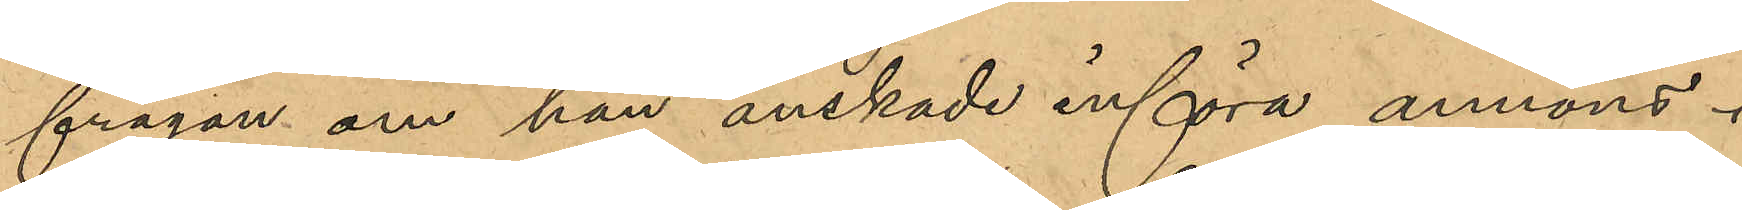frågan om han önskade införa annons i
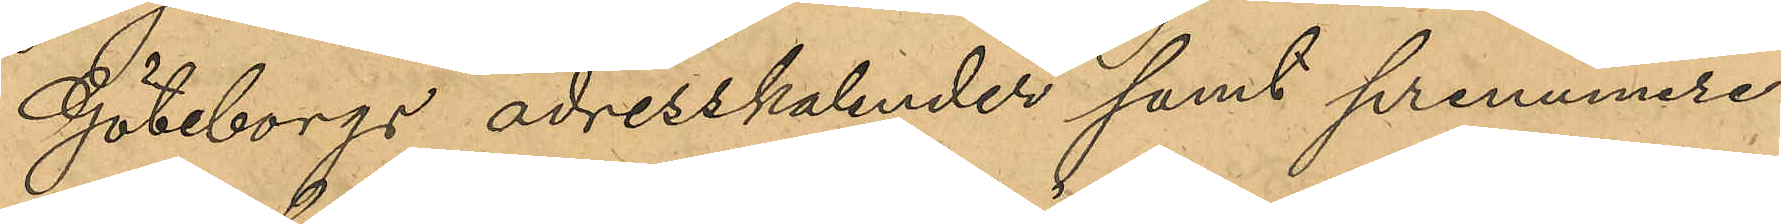Göteborgs adresskalender samt prenumere¬
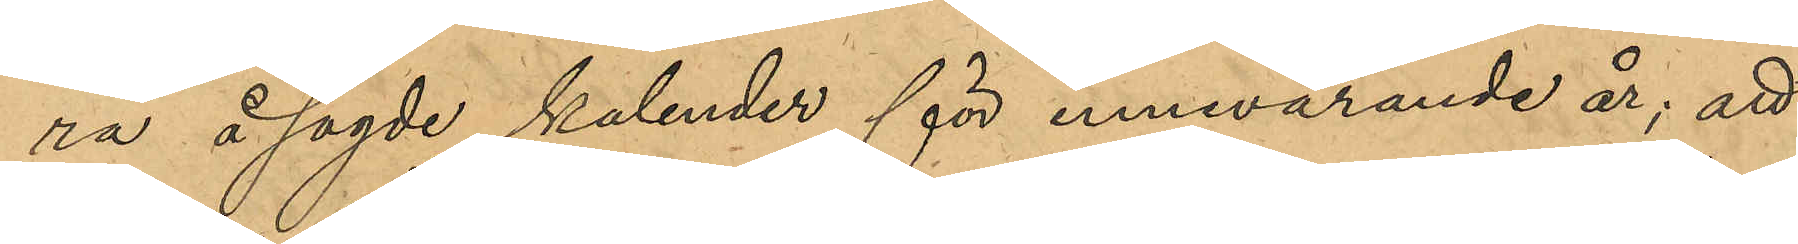ra å sagde kalender för innevarande år; att
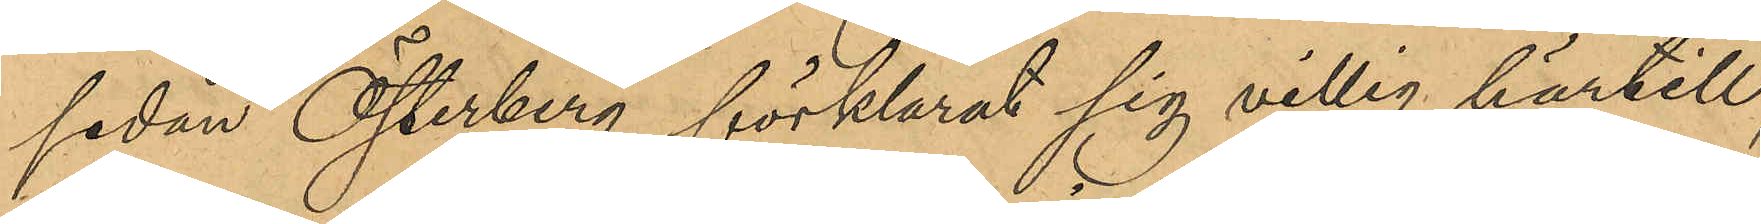sedan Österberg förklarat sig villig härtill,
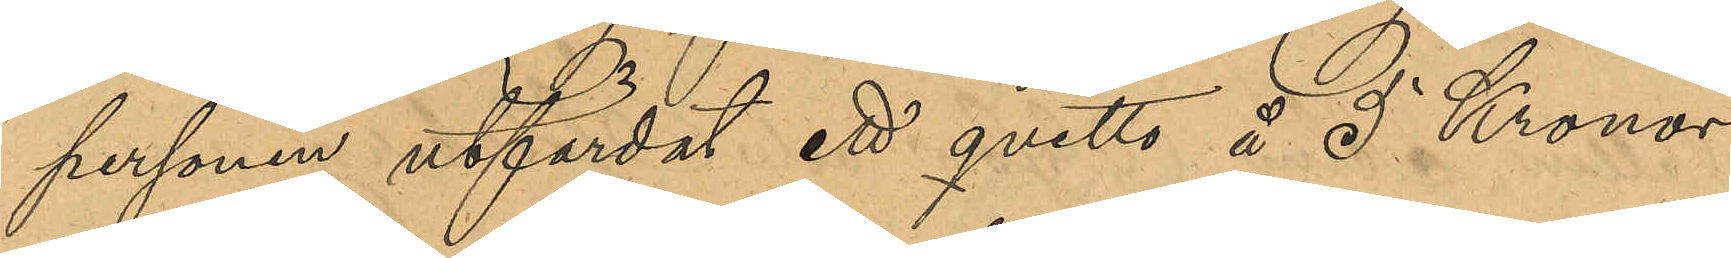personen utfärdat ett qvitto å 5 Kronor
